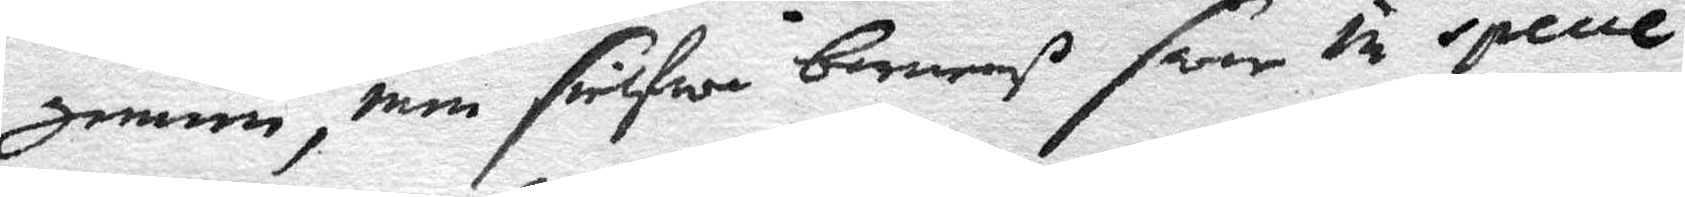gemen, men sielfwa barnenß swar in specie
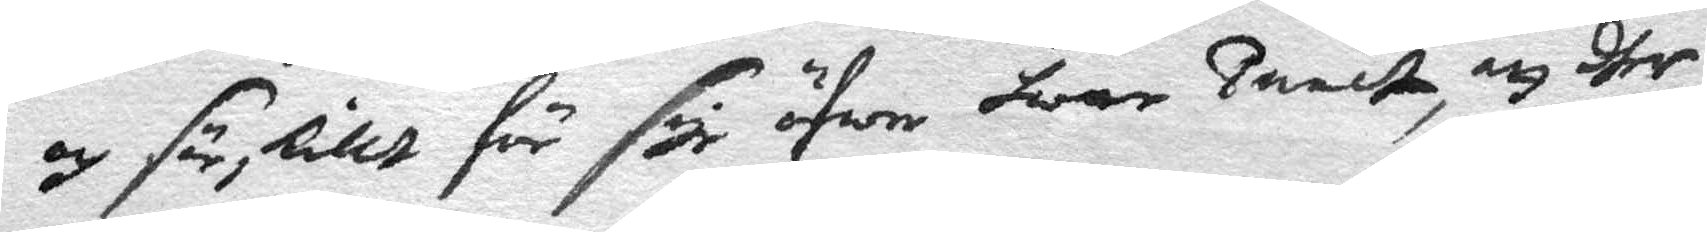och särskilt för såge öfwer hwar ..elst, att dher
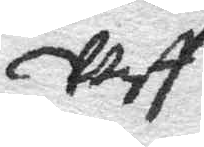wist
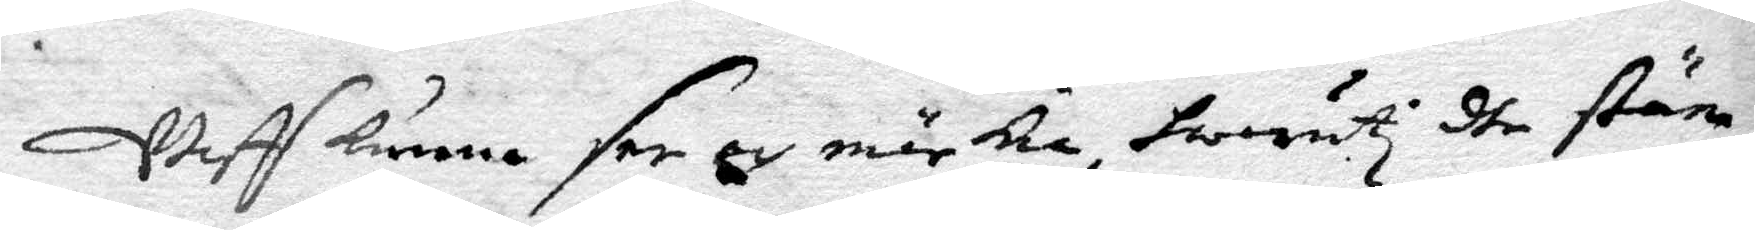wist künna see och märkia, hwaruti dhe stäm¬
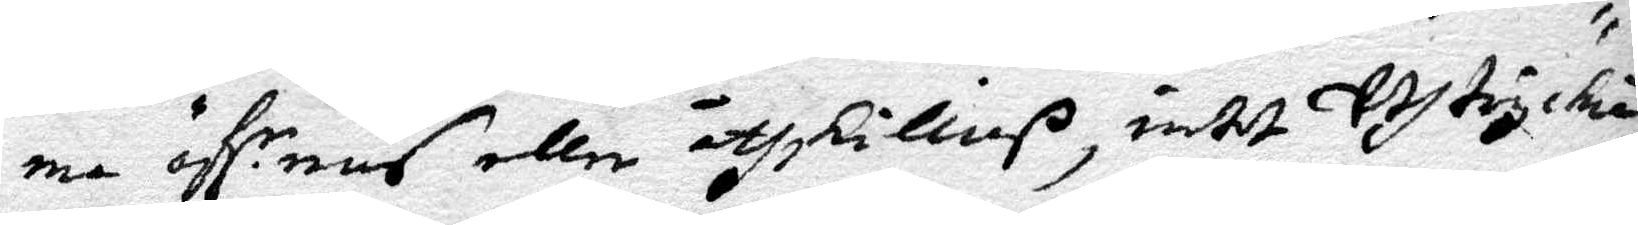ma öff.r ens eller åthsKillias, intet Uthtryckia
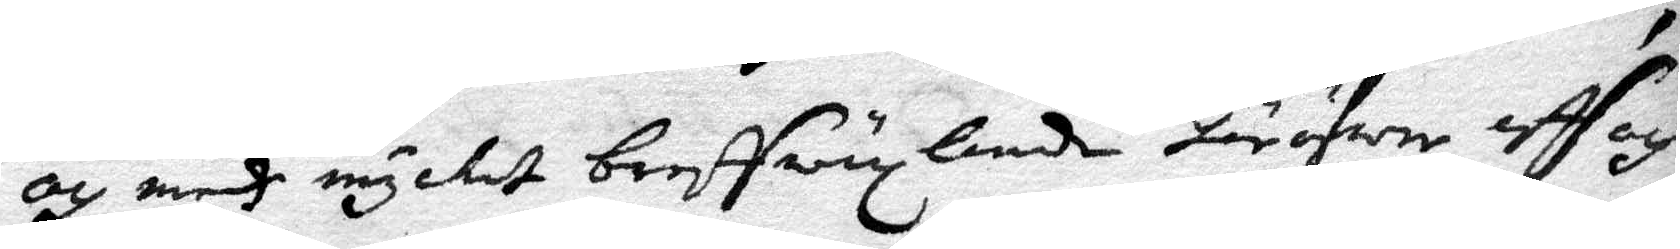och medh mycket breffwäxlande häröfwer aff och
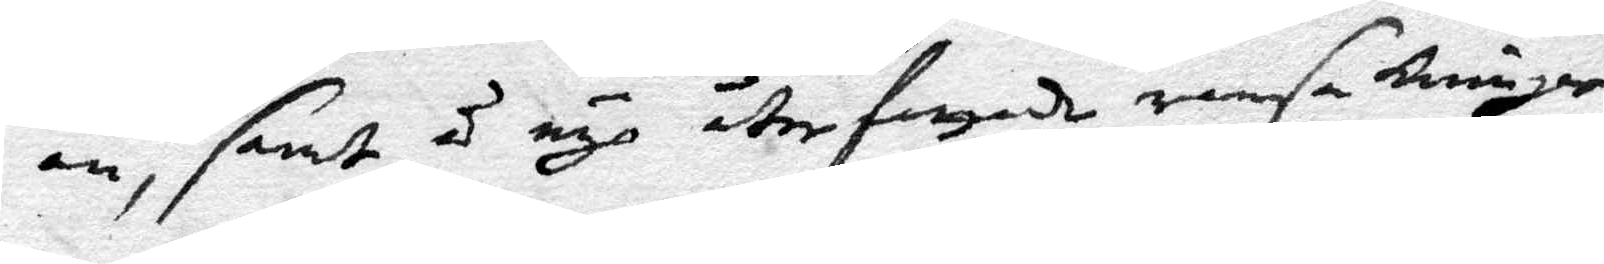an, samt å nÿo åter fattade ransaKningar
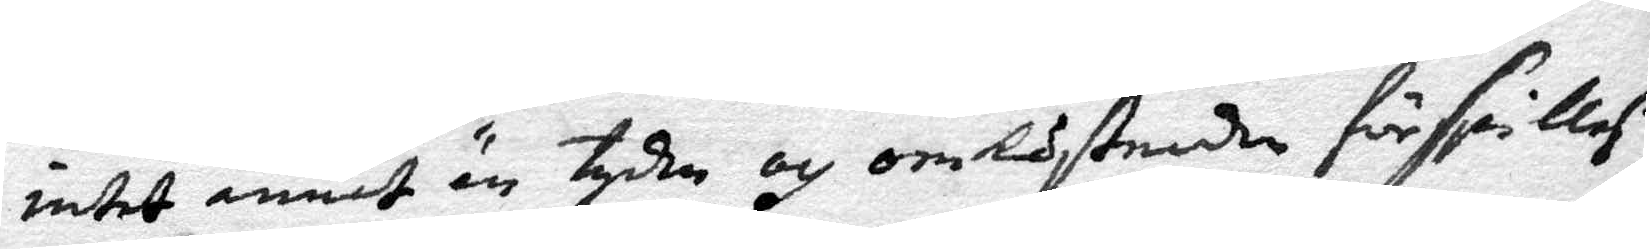intet annat än tyden och omKostnaden förspillaß,
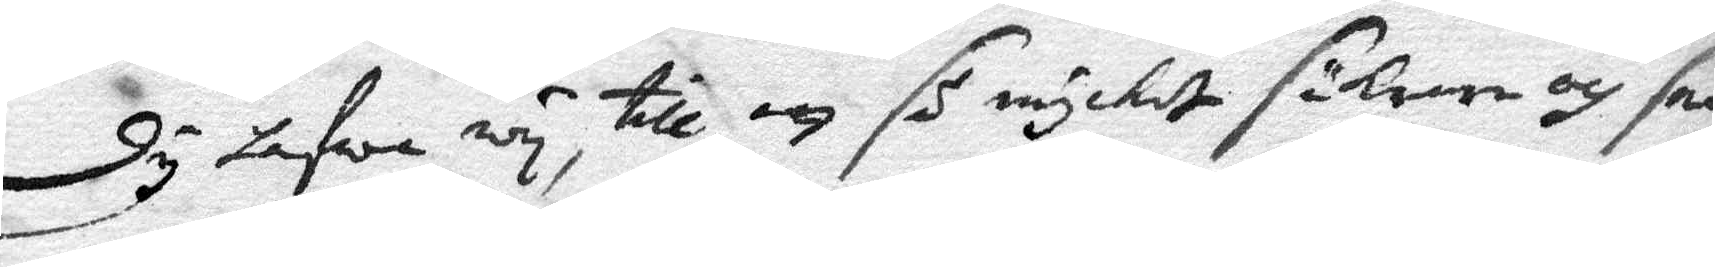Dÿ hafwa wÿ, till att så mÿcket säKrare och sna¬
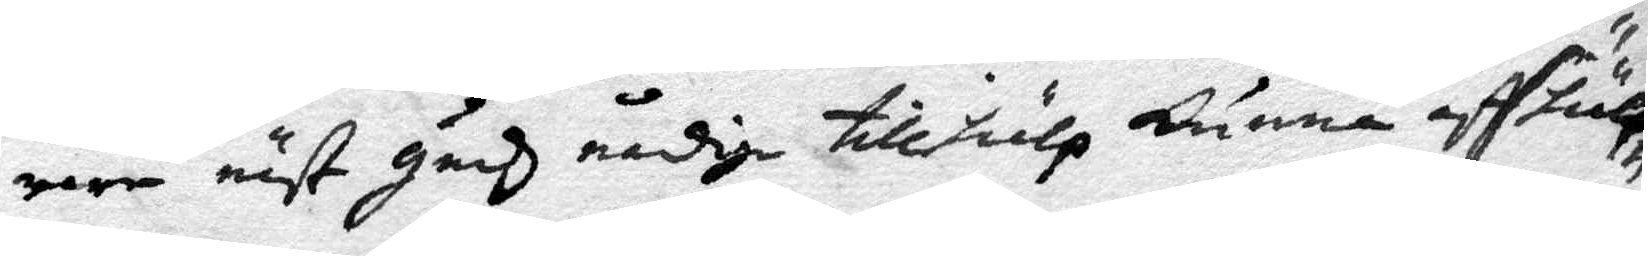rare näst Güdz nådiga tillhiälp künna affhülp¬
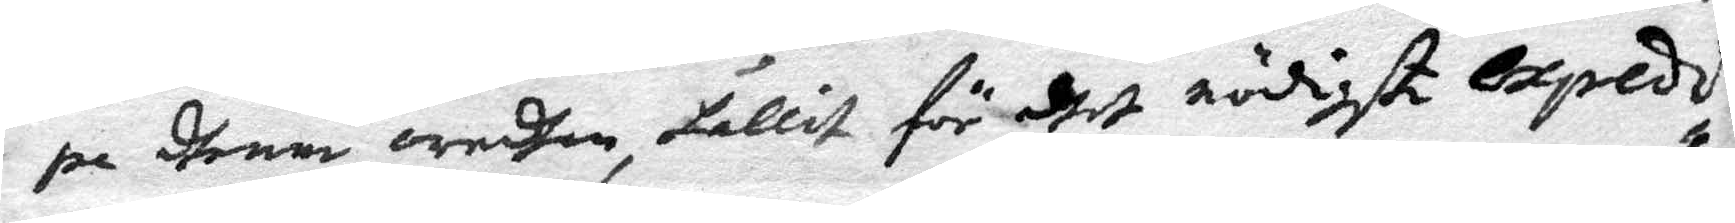pe dhenna oredhan, hållit för deth nödigste expedi¬
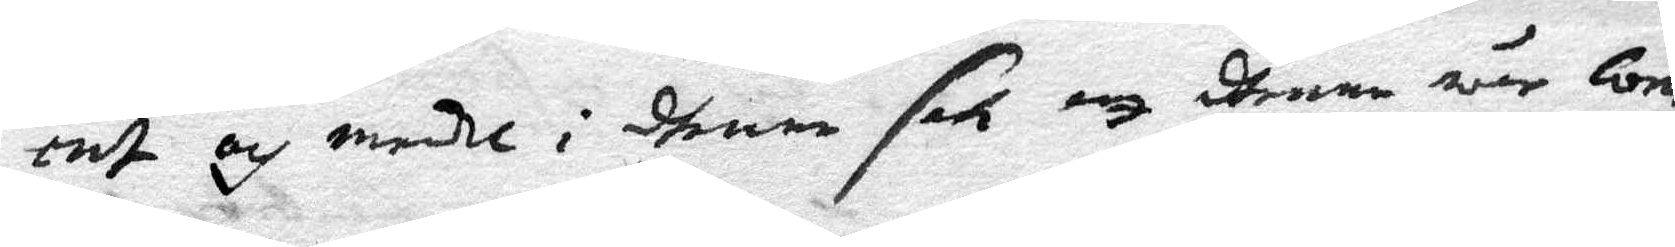erat och medhl i dhenna sak att dhenna wår Com¬
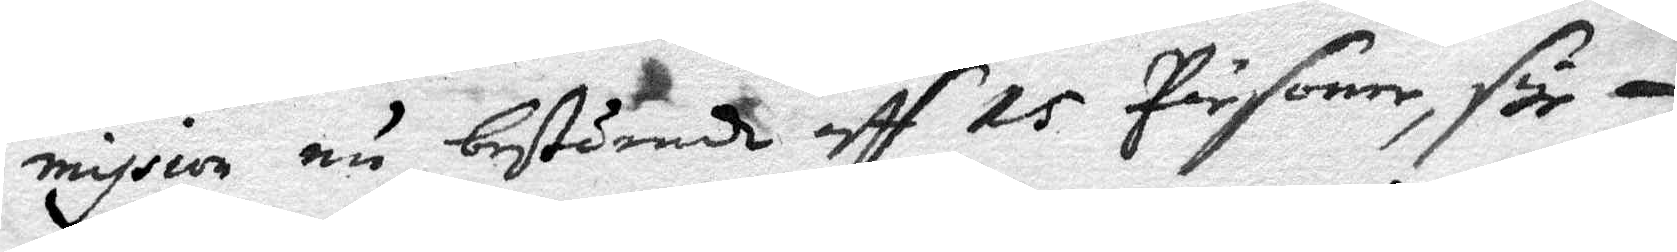mission nu bestående aff 15 Pärsoner, fÿr
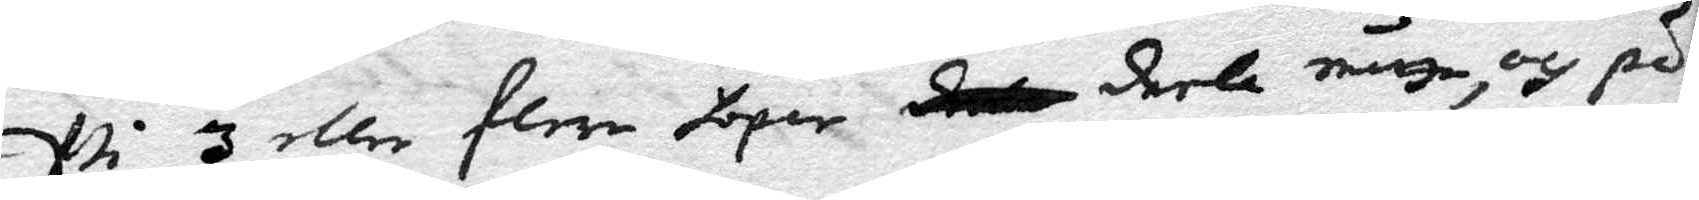Wi 3 eller flera hoper  deela n.tta, och på
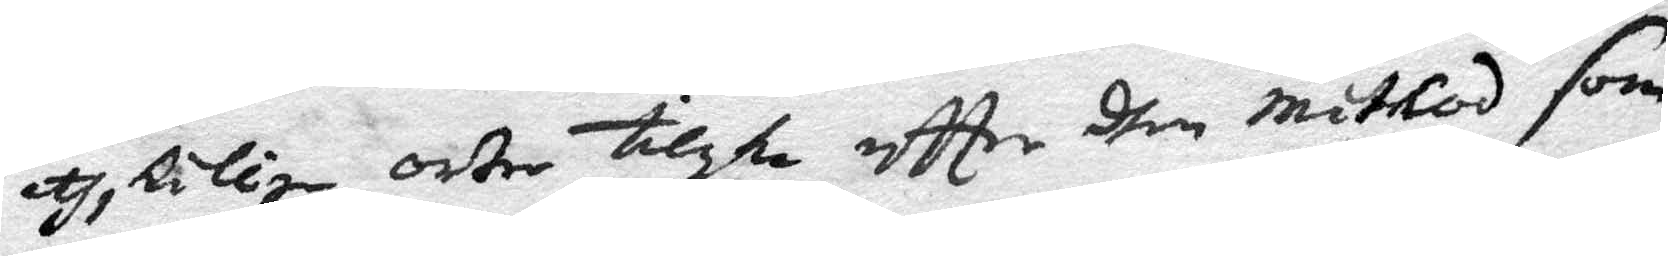åtsKillige orter tilske effter dhen mithod som
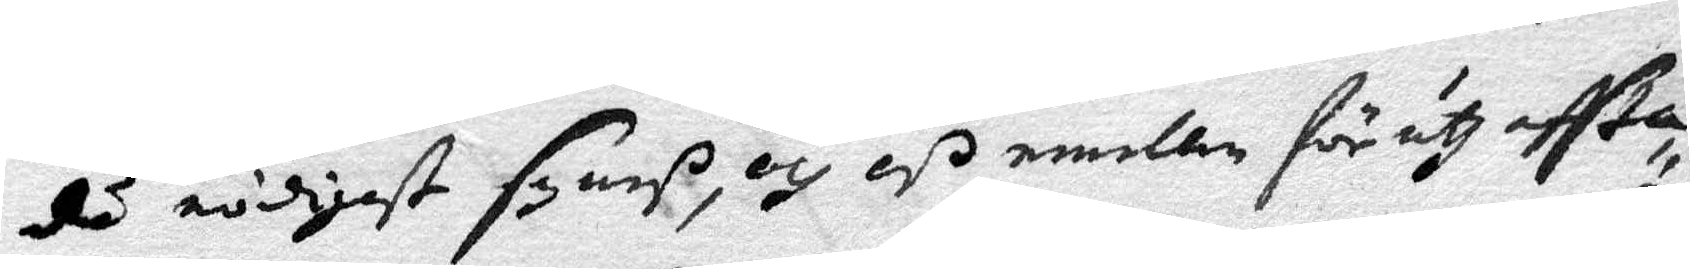då nödigt syneß, och oß emellan för uti offta
